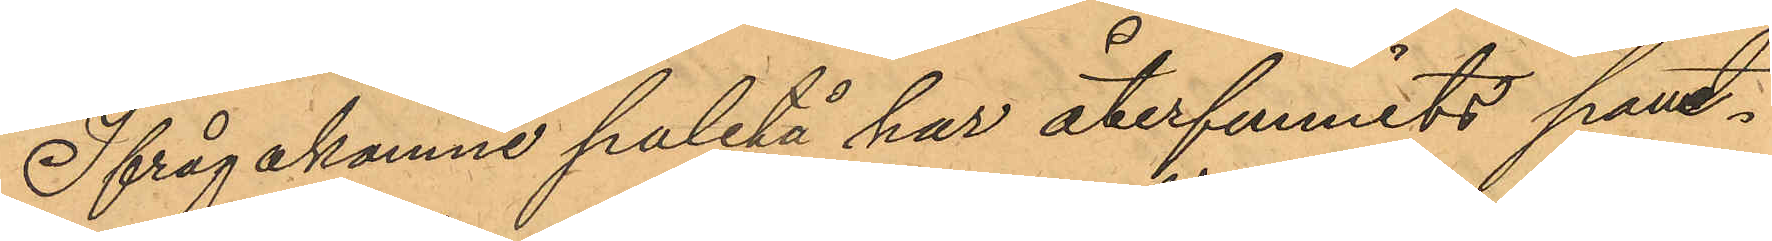Ifrågakomne paletå har återfunnits pant¬
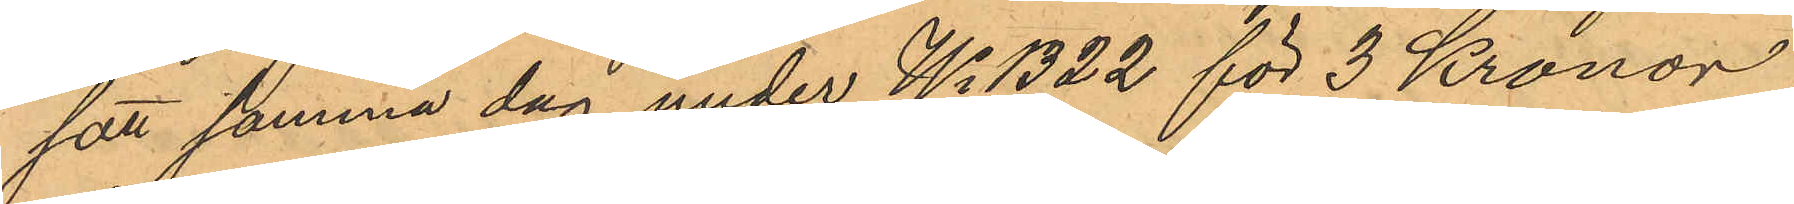satt samma dag under No 1322 för 3 Kronor
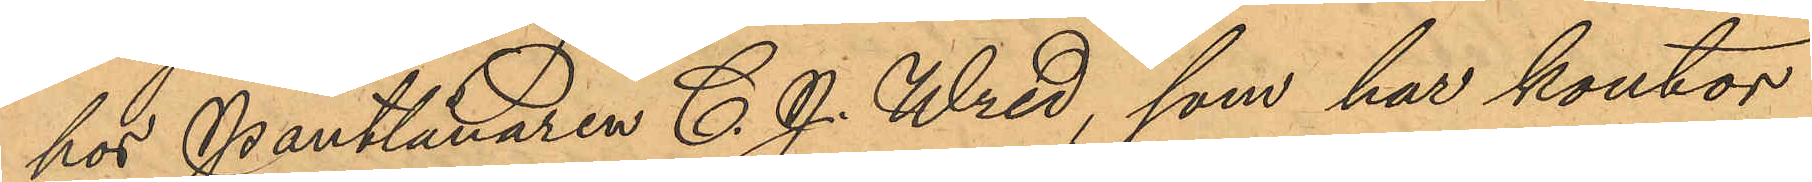hos Pantlånaren C. J. Wred, som har kontor
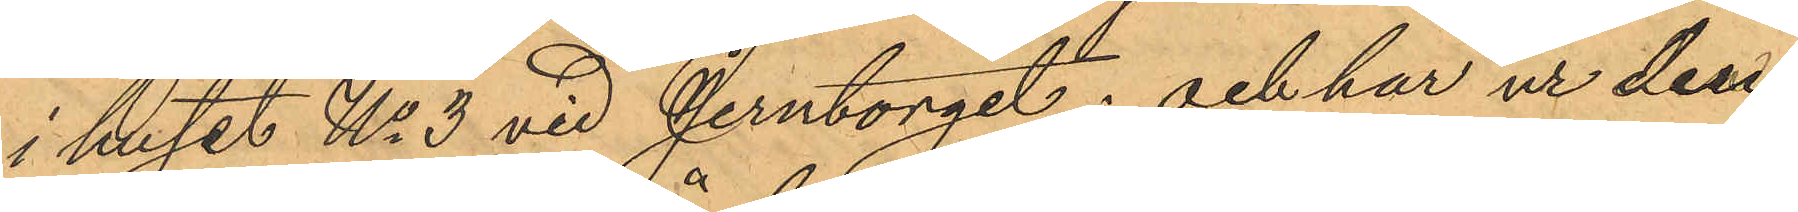i huset No 3 vid Jerntorget; och har ur den
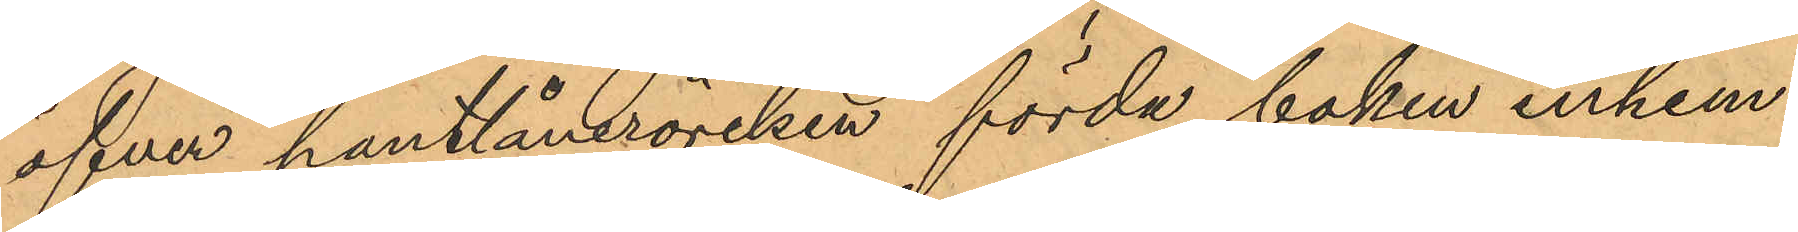öfver pantlåneröresen förda boken inhem¬
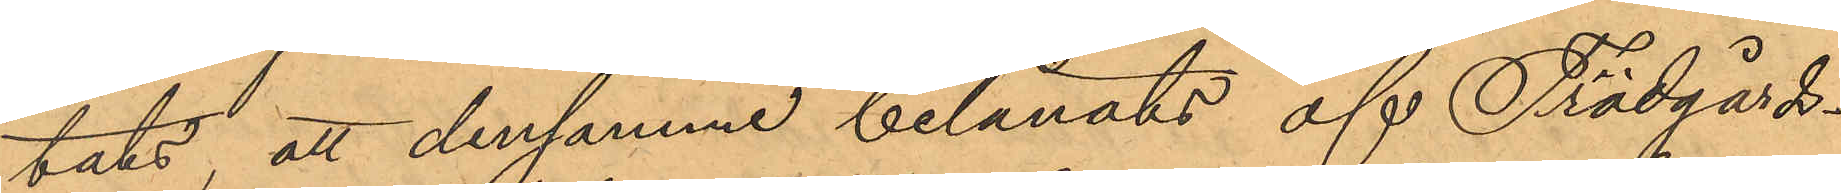tats, att densamma belånats af Trädgårds¬
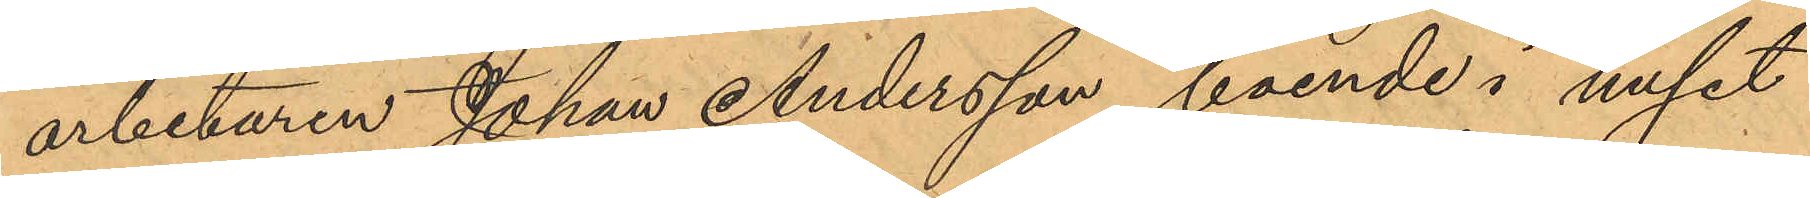arbetaren Johan Andersson, boende i huset
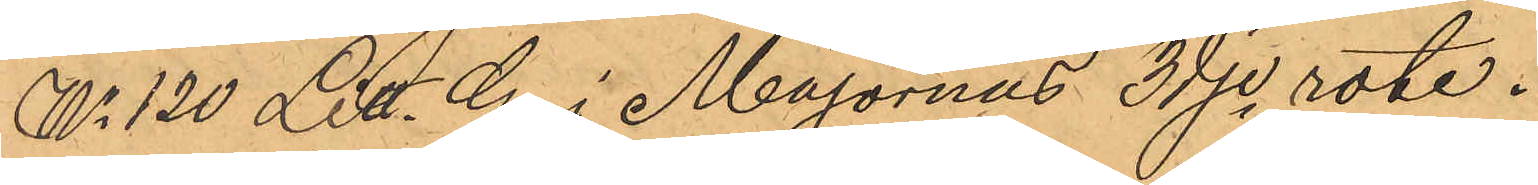No 120 Litt. G. i Majornas 3dje rote.
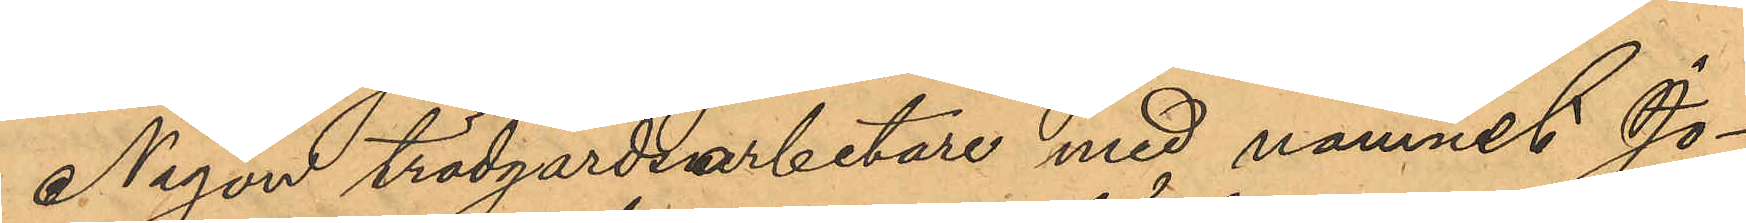Någon trädgårdsarbetare med namnet Jo¬
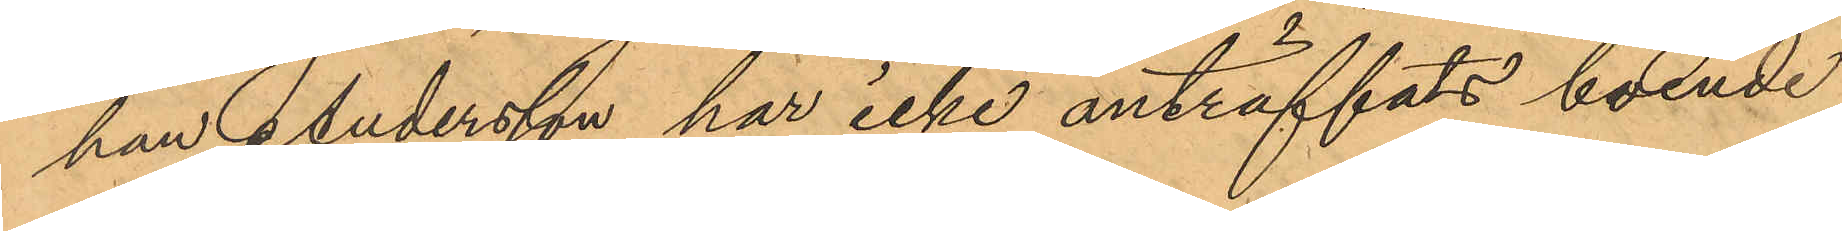han Andersson har icke anträffats boende
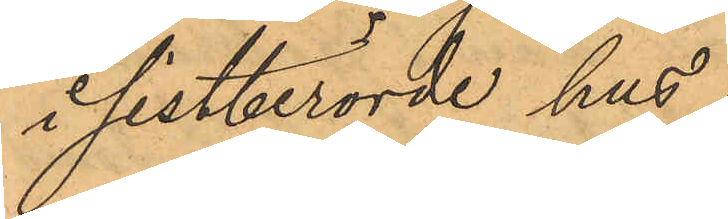i sistberörde hus.
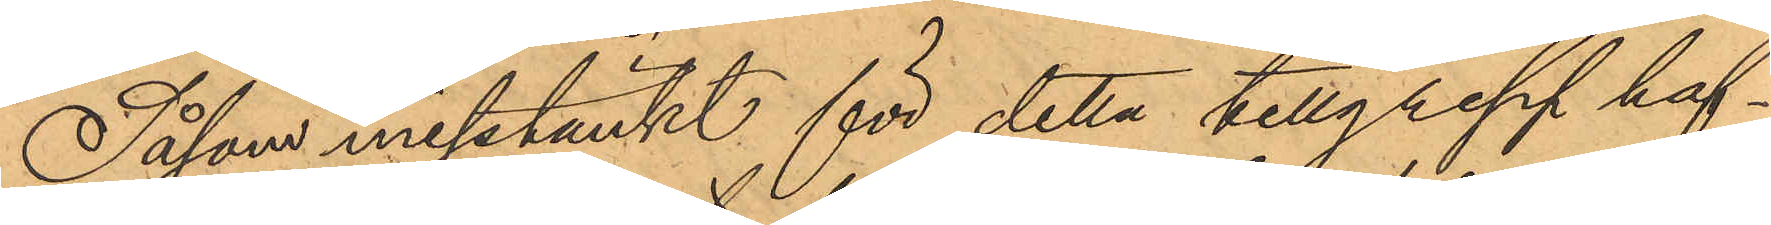Såsom misstänkt för detta tillgrepp haf¬
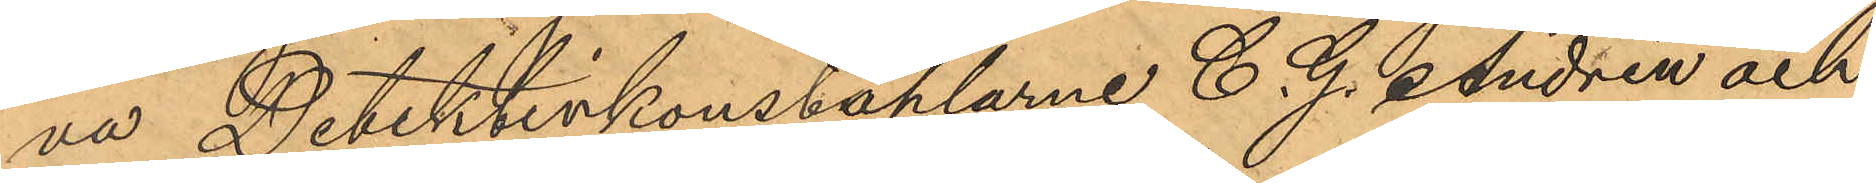va Detektivkonstaplarne C. G. Andrén och
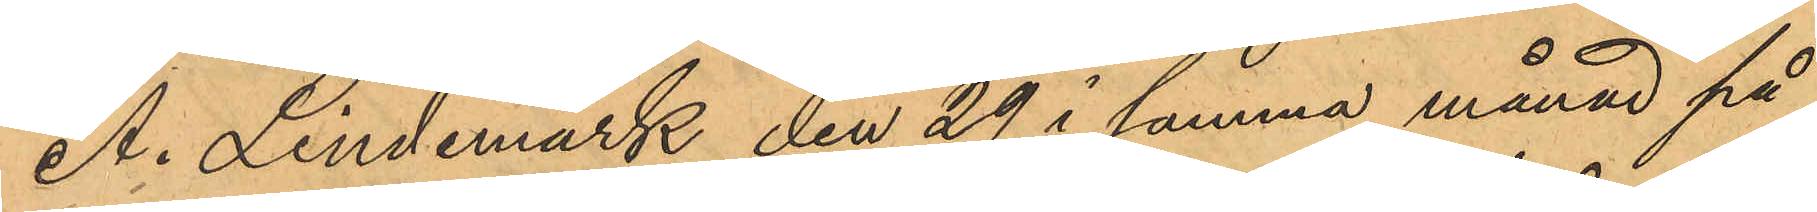A. Lindemark den 29 i samma månad på
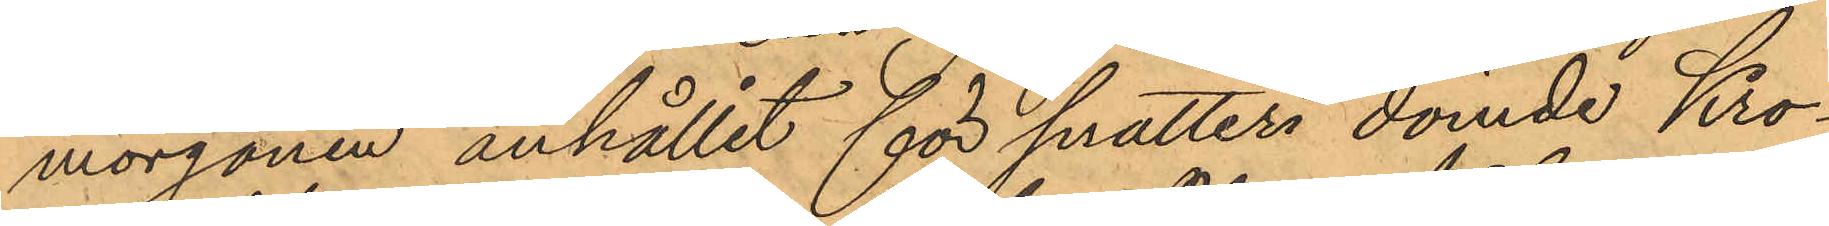morgonen anhållit för snatteri dömde Kro¬
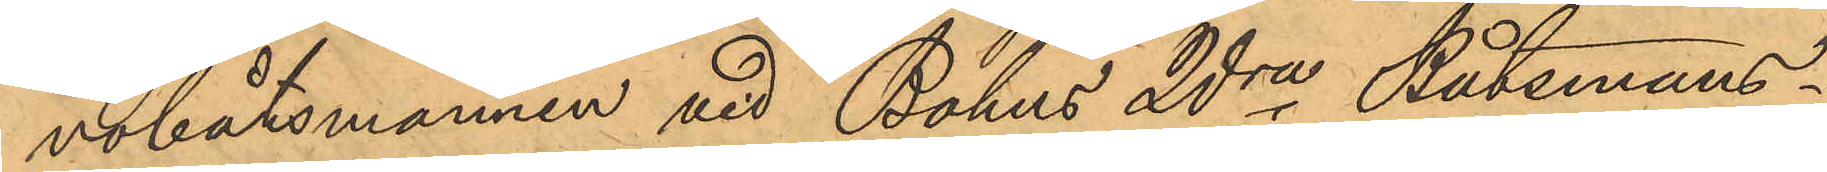nobåtsmannen vid Bohus 2dra Båtsmans¬
